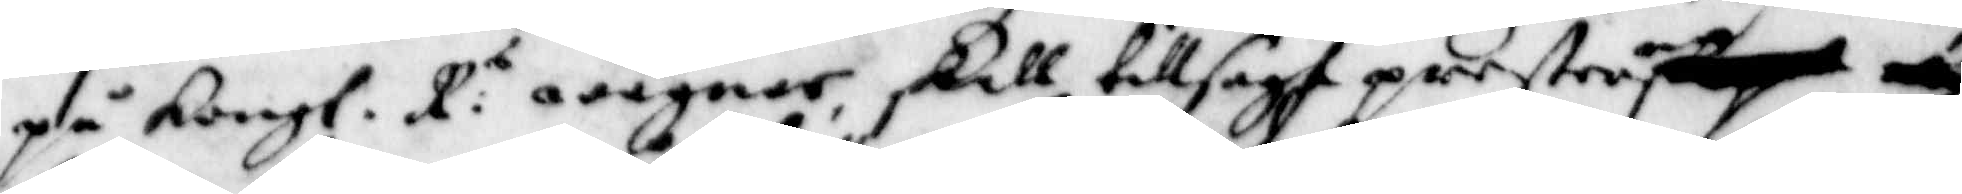på Kongl. R. wägnar skall tillsagt presten
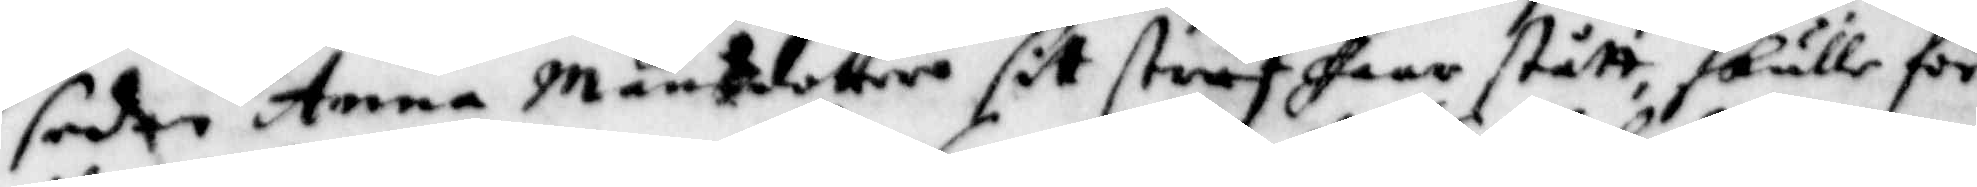sedan Anna Månsdotter sitt straff haar stått skulle för
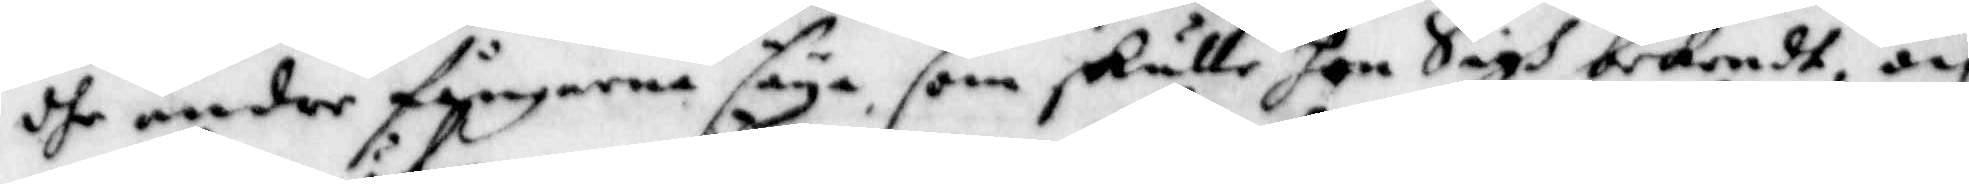dhe andre fångarna säya som skulle hon Sigh bekendt, och
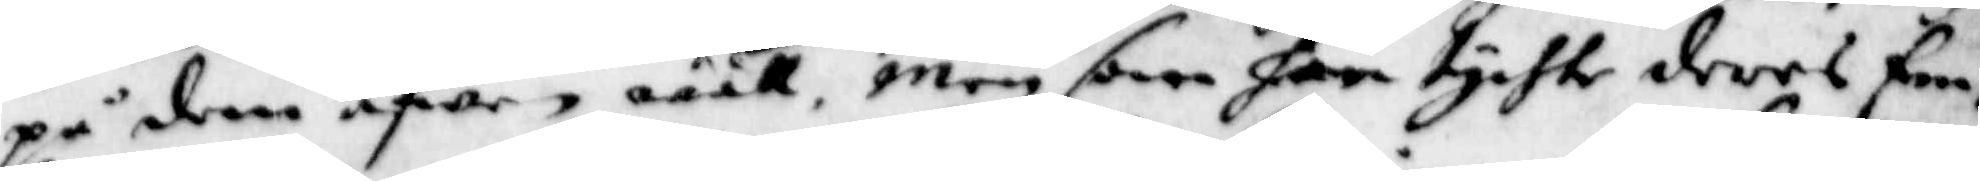på dem äfwen wäöö, men som han tychte deres Em¬
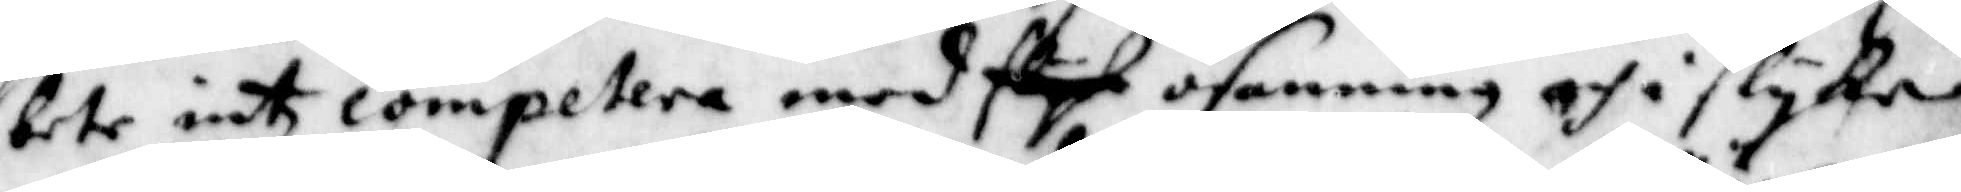bete intz competera med slyk osanning och i slyke
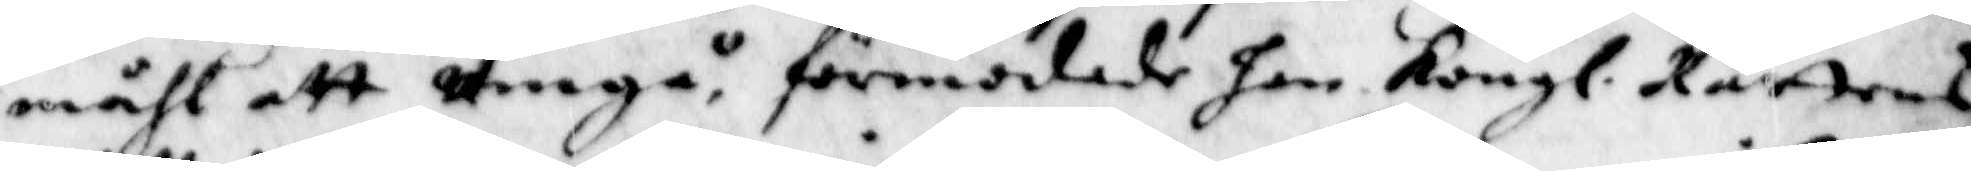måhl att umgå, förmodade han Kongl. Rättens
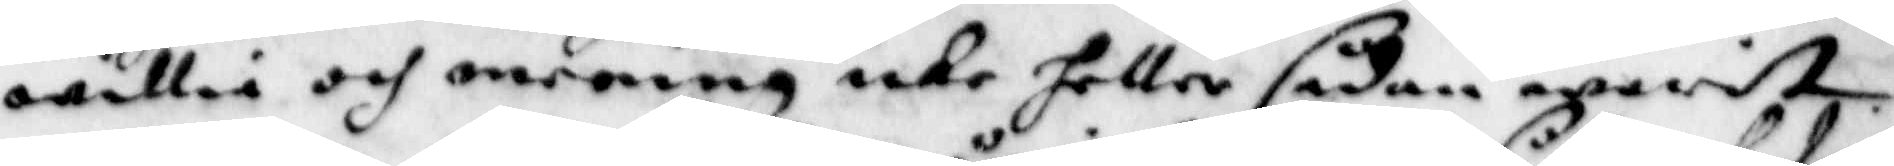willia och mening icke heller sådan waritt.
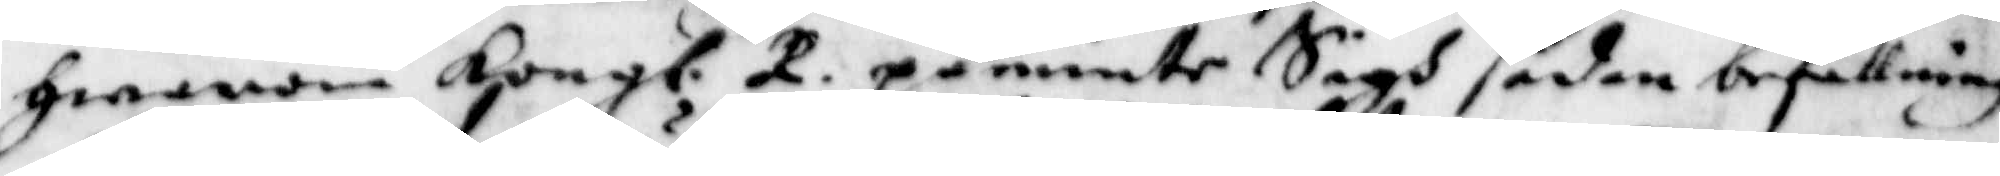hwarom Kongl. R. påminte Sigh sådan befallning
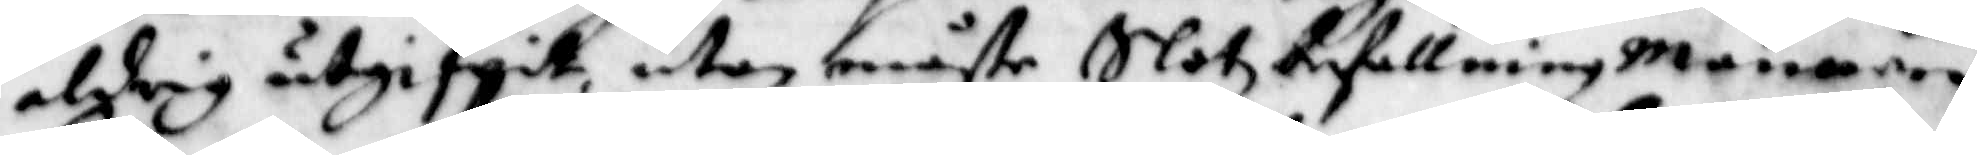aldrig utgifwit utan måste Slotzbefallningmannen
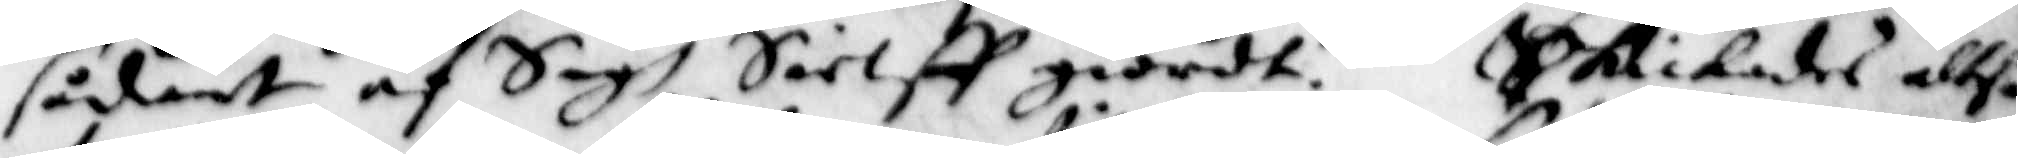sådant af Sigh Sielff giordt. Skickades altså
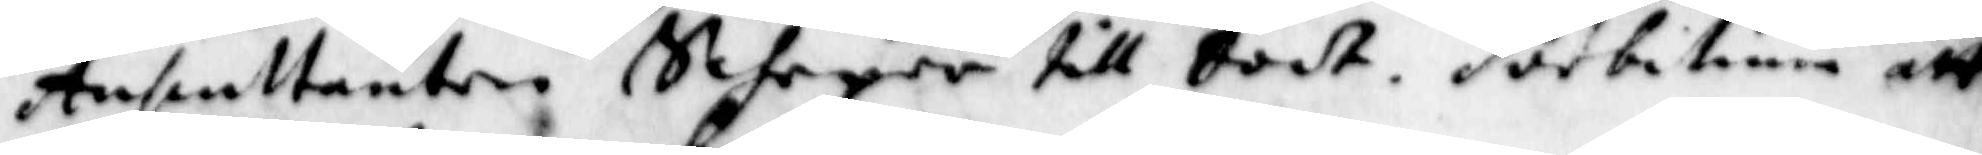Anpeltanten Scheper till bodt. Solbitina att
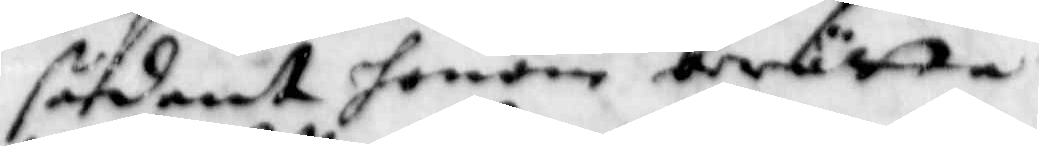sådant honom berätta.
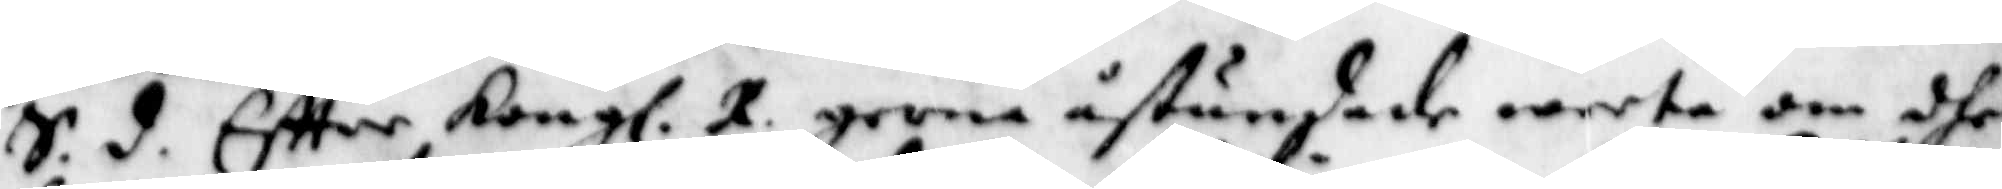S.d. Eftter Kongl. R. gerna åstundade weeta om dhe
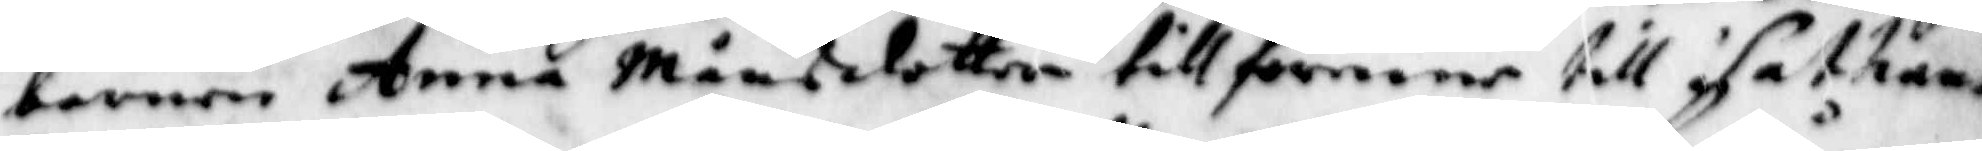barnen Anna Månsdotter tillförene till Sathans
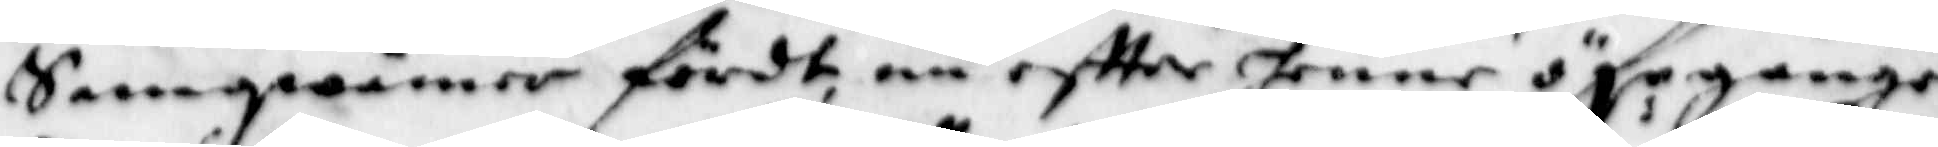Samqwämer fördt, nu eftter hennes öf:r gångne
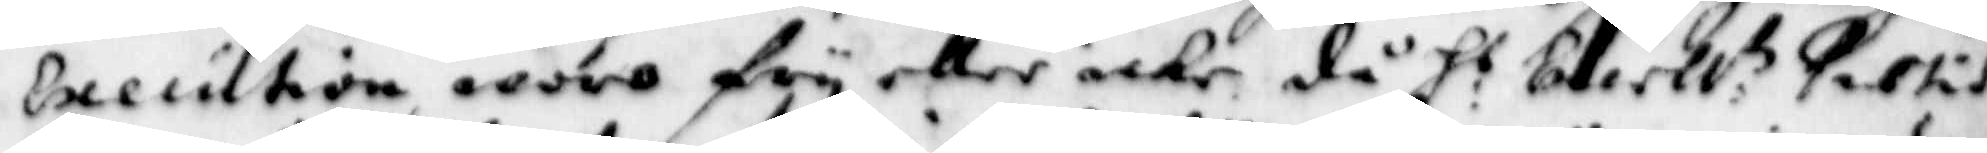Execution woro fry eller icke, då H:s Excell:tz xxxtid
